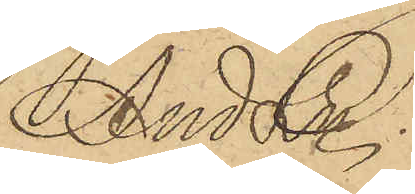And Ln.
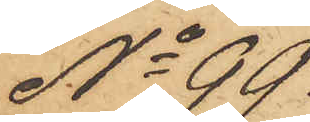No 99.
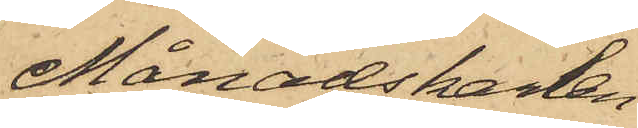Månadskarlen
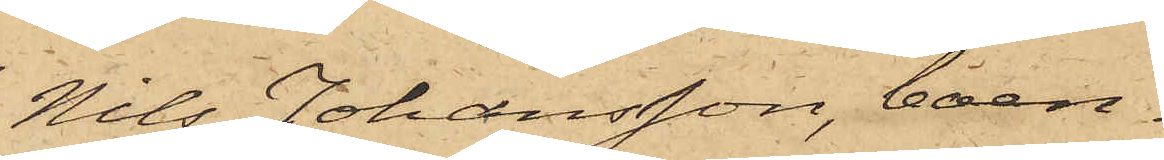Nils Johansson, boen¬
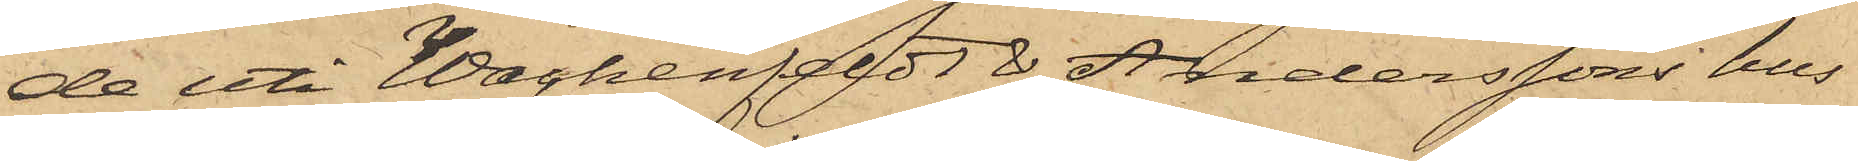de uti Wachenfeldt & Anderssons hus
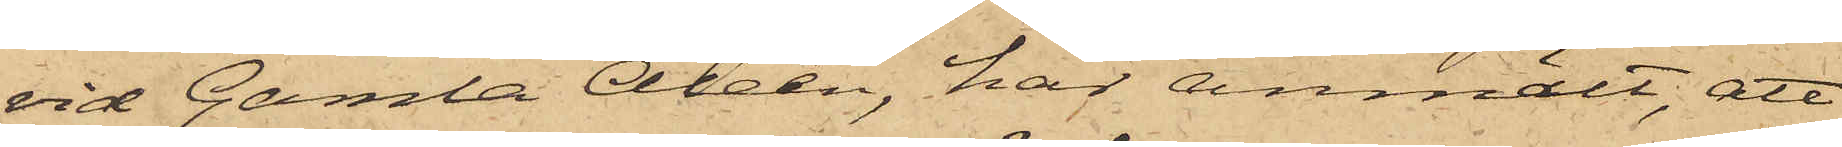vid Gamla Alleén, har anmält, att
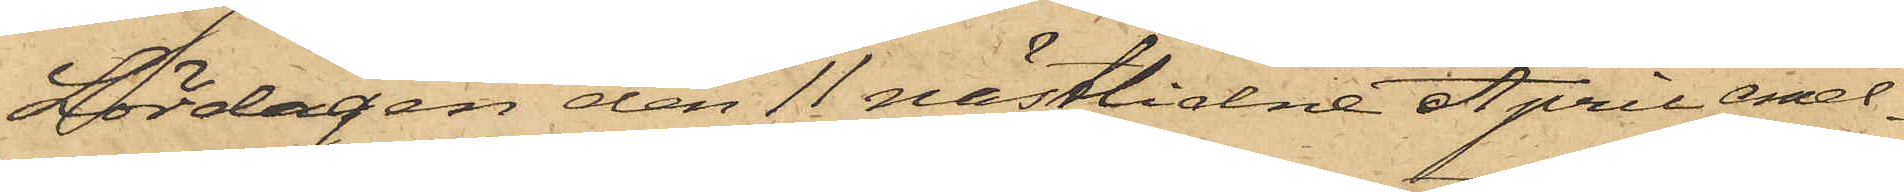Lördagen den 11 sistlidne April mel¬
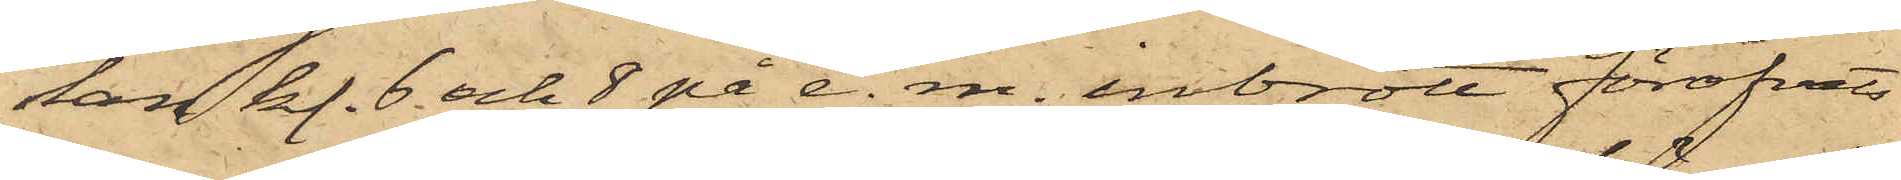lan kl. 6 och 8 på e. m. inbrott föröfvats
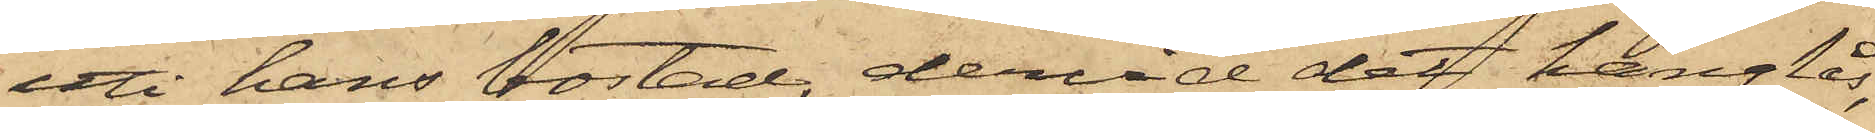uti hans bostad, dervid det hänglås,
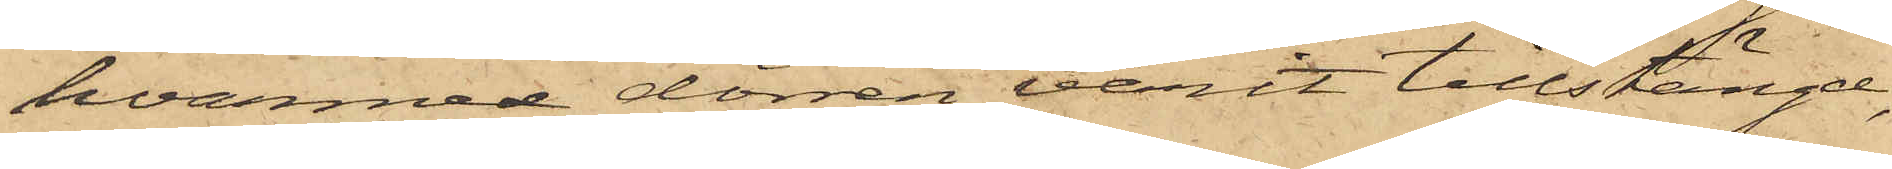hvarmed dörren varit tillstängd,
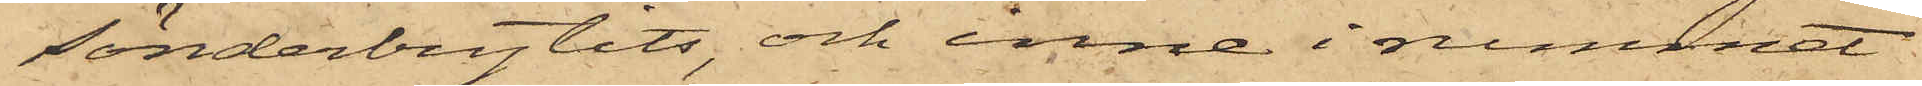sönderbrytits, och inne i rummet
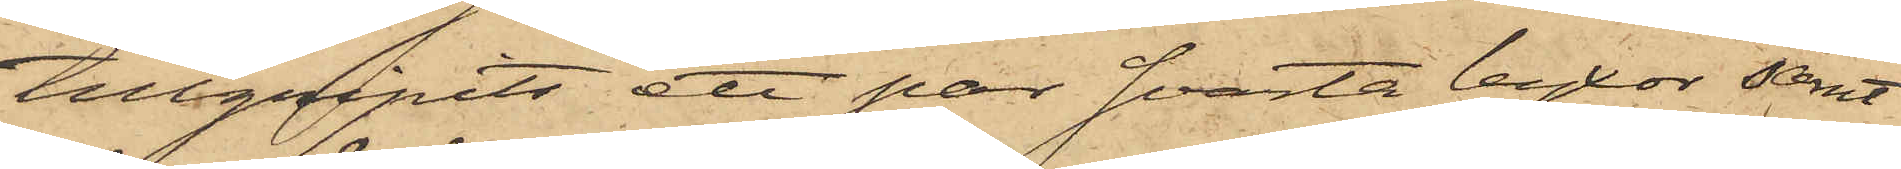tillgripits ett par svarta byxor samt
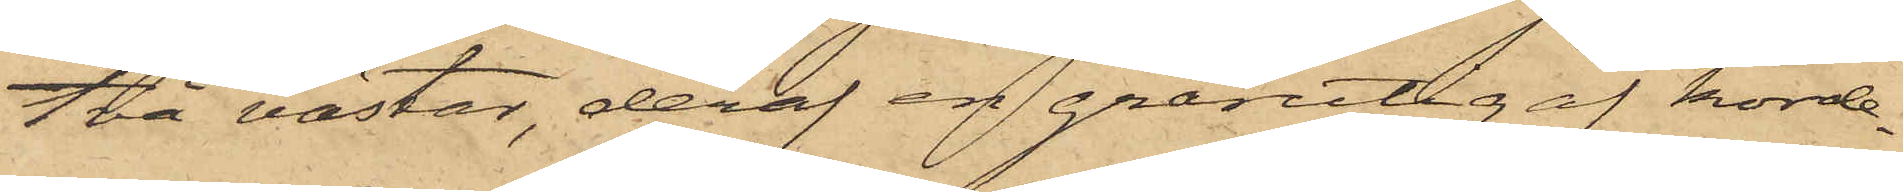två västar, deraf en grårutig af korde¬
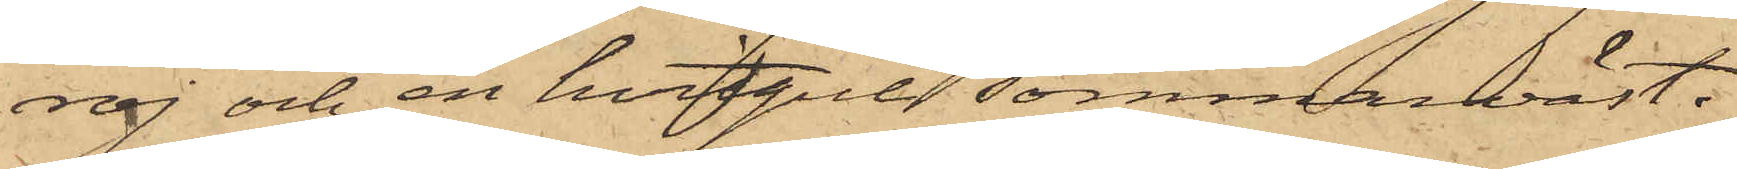roj och en hvitgul sommarväst.
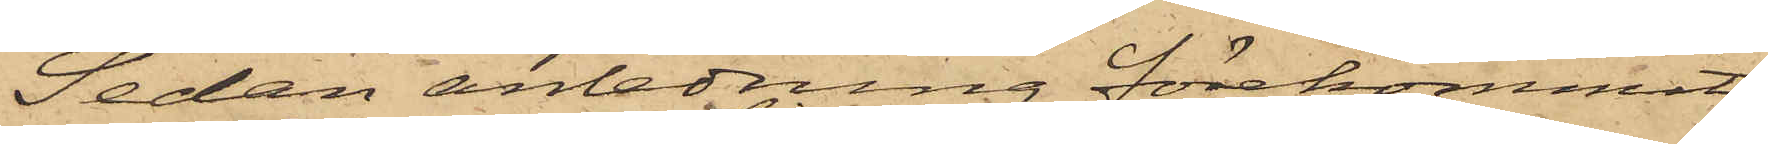Sedan anledning förekommit
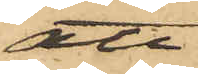att
